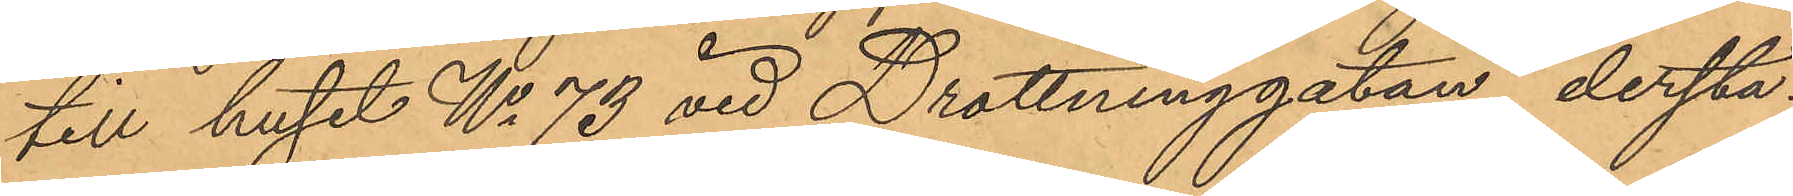till huset No 73 vid Drottninggatan, derstä¬
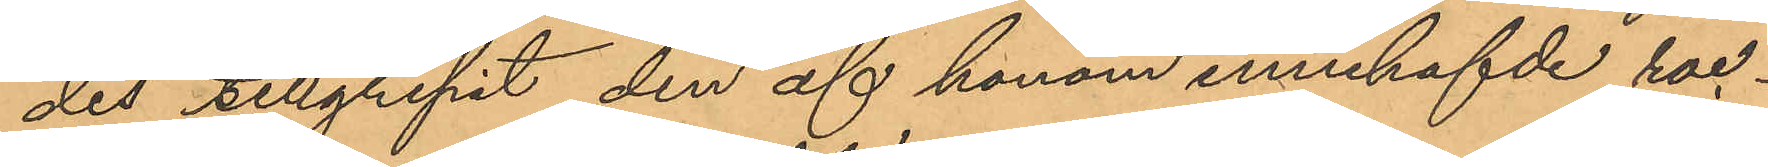des tillgripit den af honom innehafvde roc¬
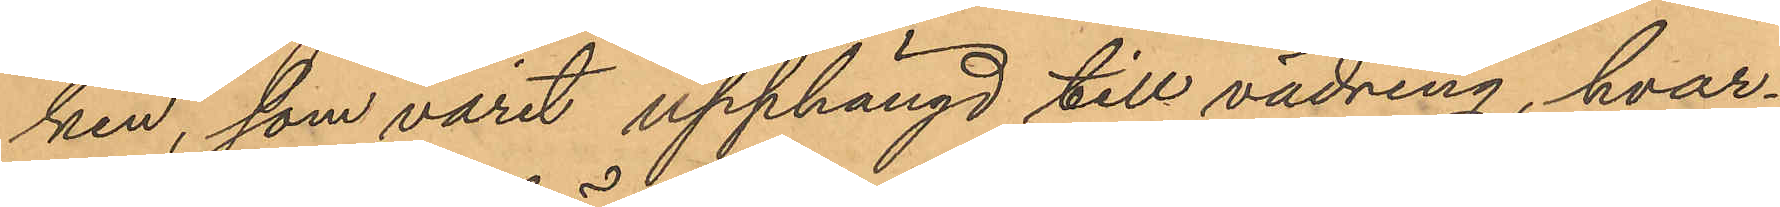ken, som varit upphängd till vädring, hvar¬
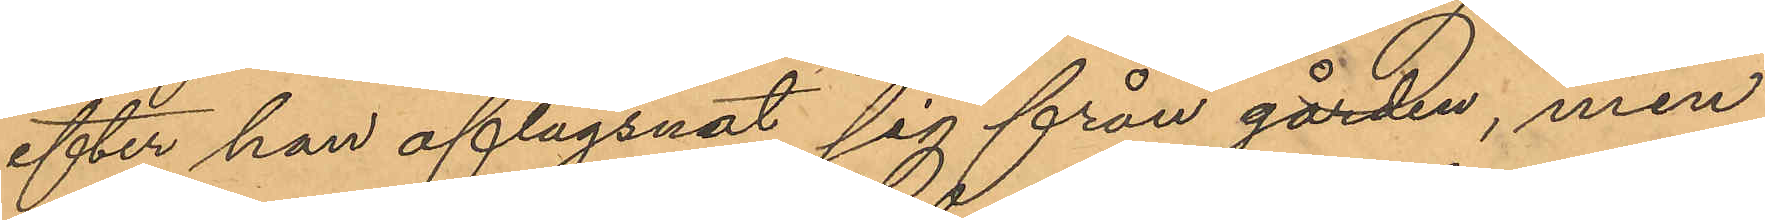efter han aflägsnat sig från gården, men
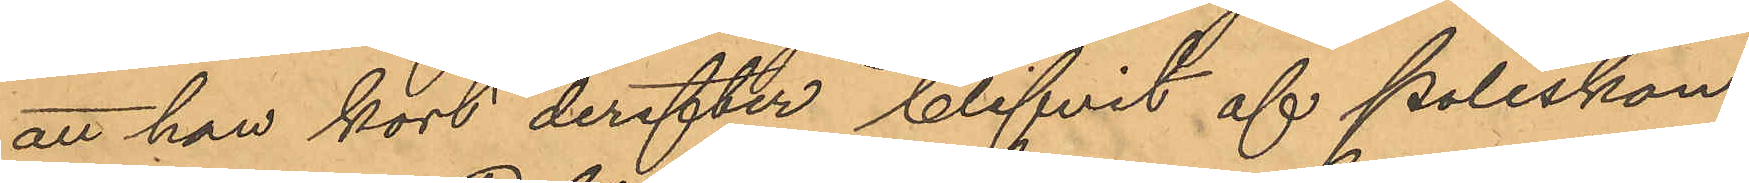att han kort derefter blifvit af Poliskon¬
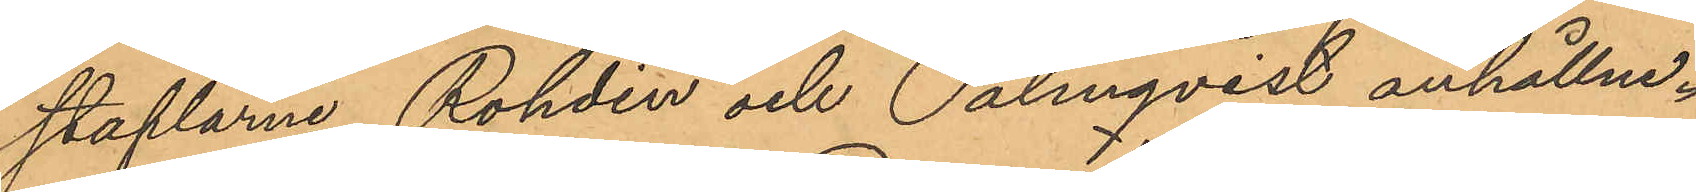staplarne Rohdin och Palmqvist anhållen.
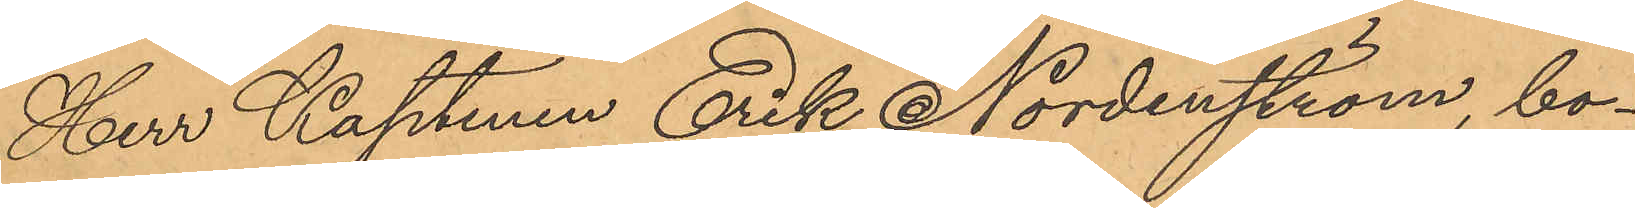Herr Kaptenen Erik Nordenström, bo¬
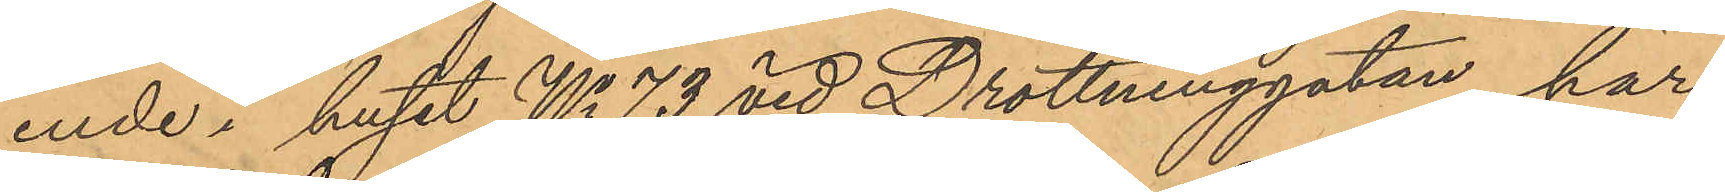ende i huset No 73 vid Drottninggatan, har
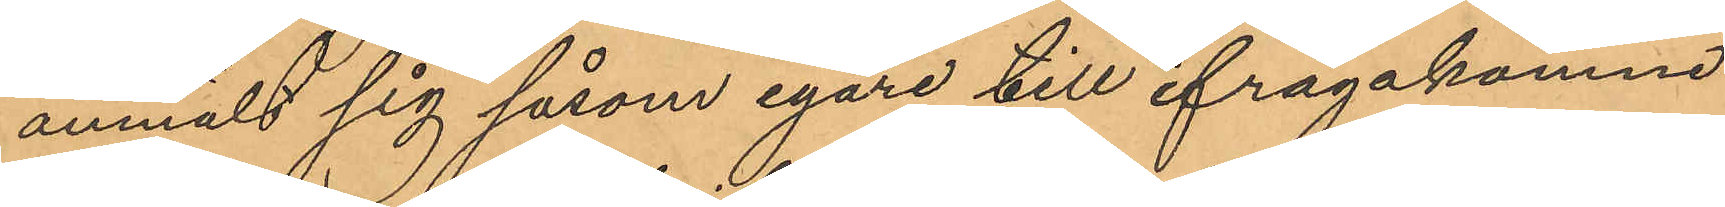anmält sig såsom egare till ifrågakomne
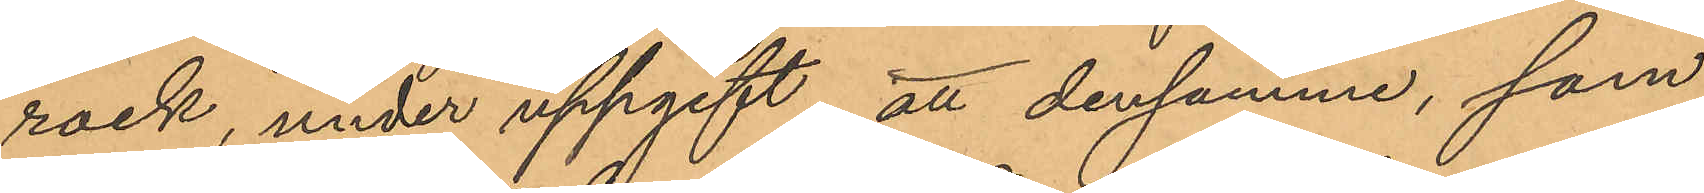rock, under uppgift att densamma, som
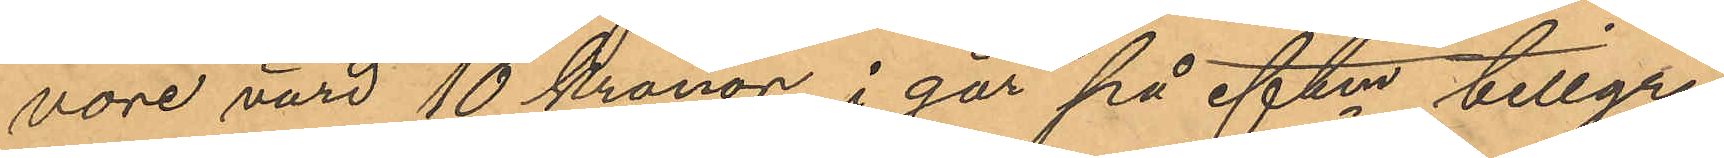vore värd 10 Kronor, i går på eftm tillgri¬
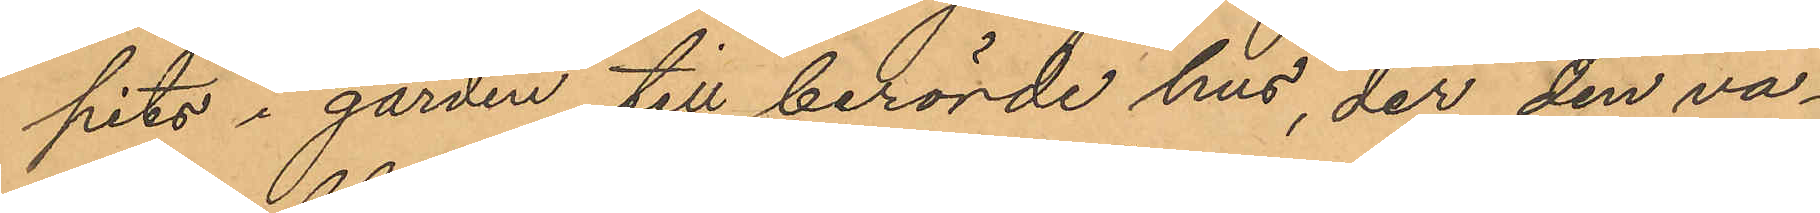pits i gården till berörde hus, der den va¬
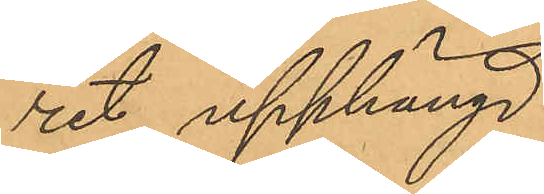rit upphängd
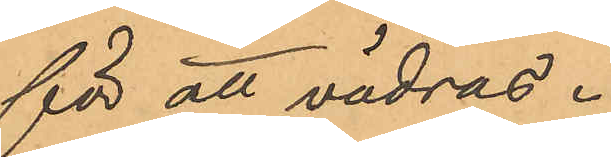för att vädras.
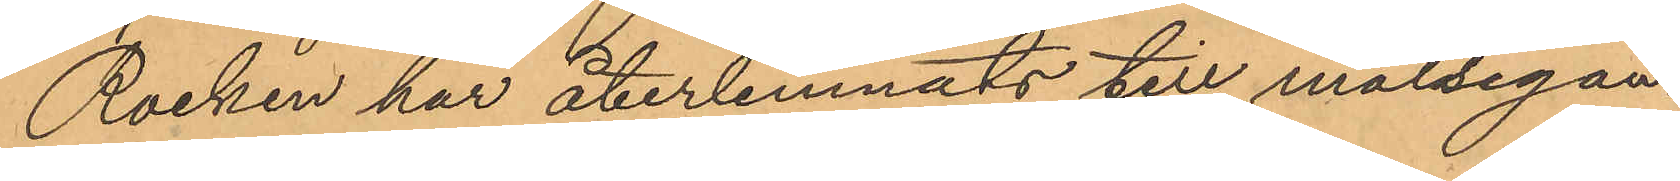Rocken har återlemnats till målsegan¬
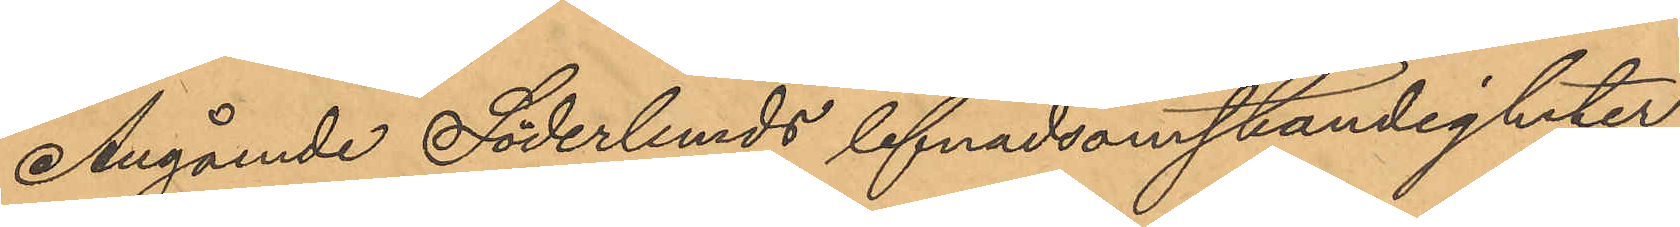Angående Söderlumds lefnadsomständigheter
